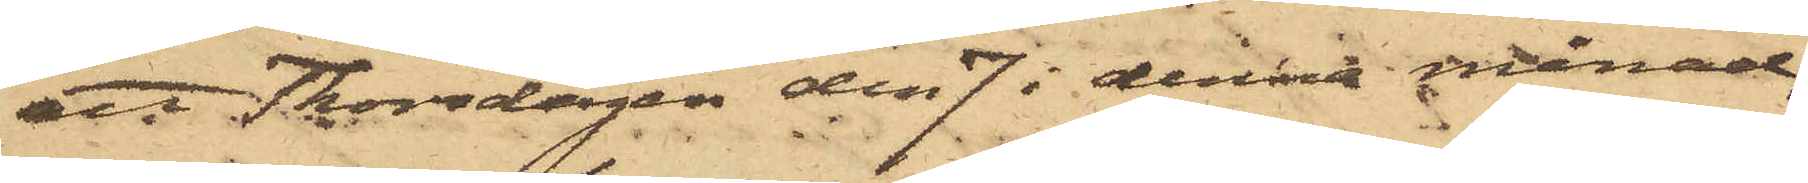att Thorsdagen den 7 i denna månad,
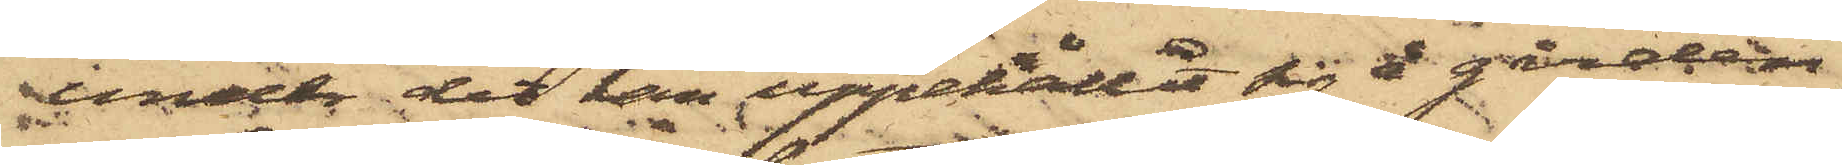under det han uppehållit sig å gården
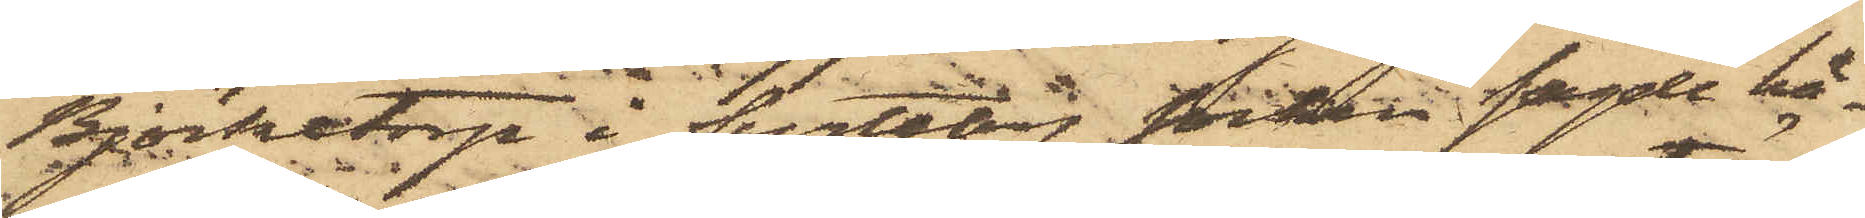Björketorp i Surteby socken sagde hä¬
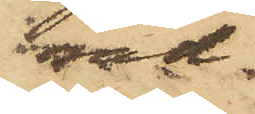rad
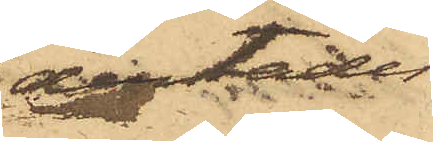derstädes
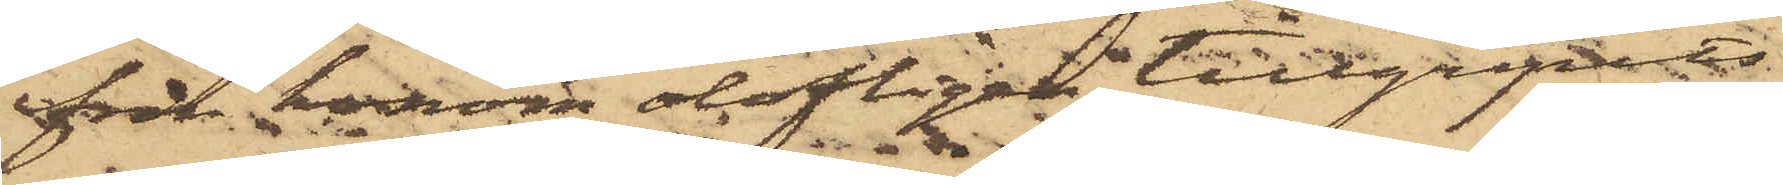från honom olofligen tillgripits
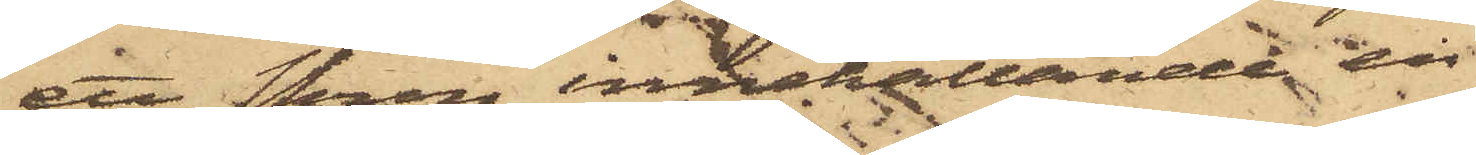ett skrin innehållande en
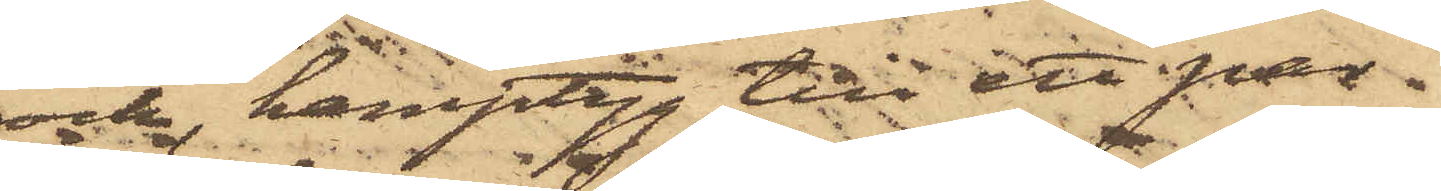rock, hamptyg till ett par
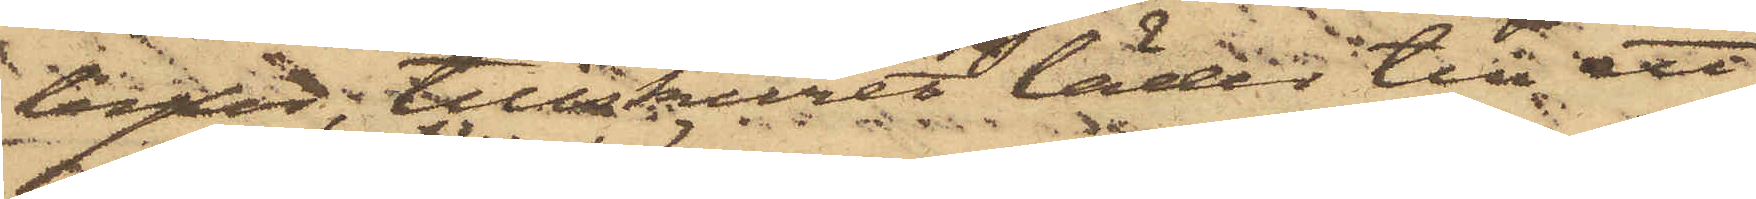byxor; tillskuret läder till ett
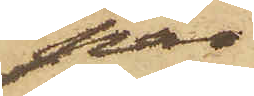par
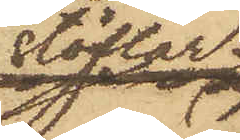stöflar,
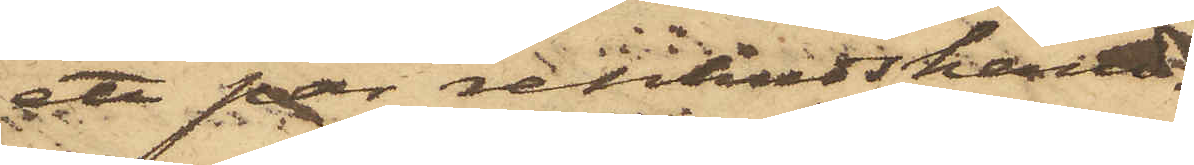att par renhudshand¬
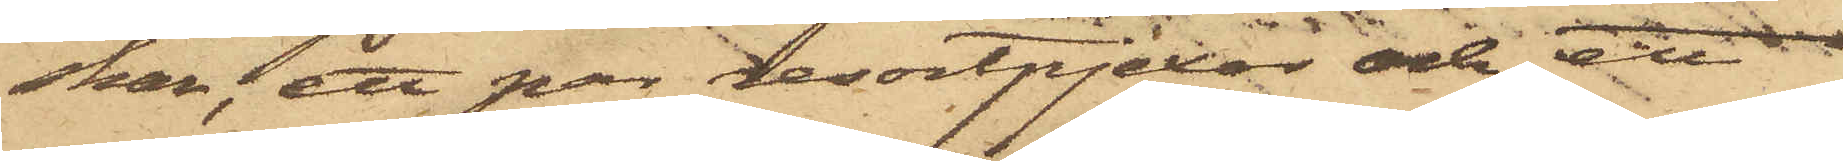skar; ett par resortpjexor och ett
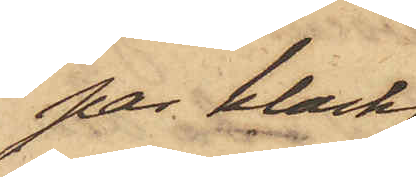par klack¬
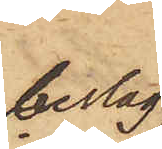beslag
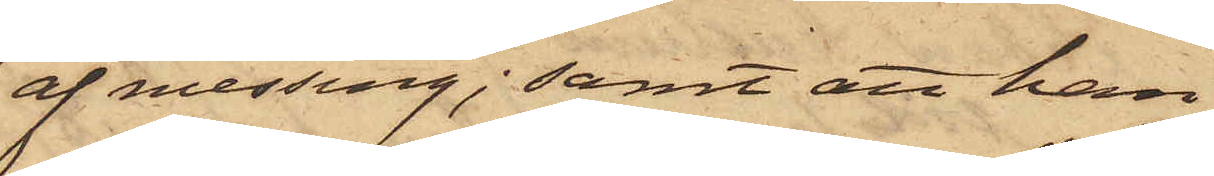af messing; samt att han
